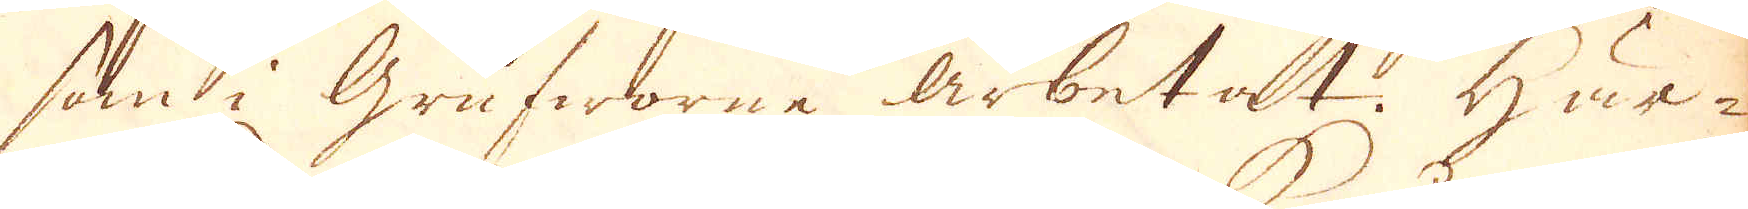som i grufworne arbetat. Här-
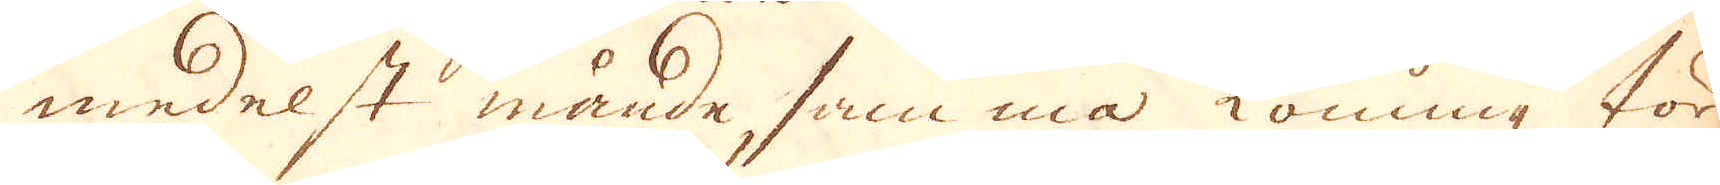medelst månde samma Konung för-
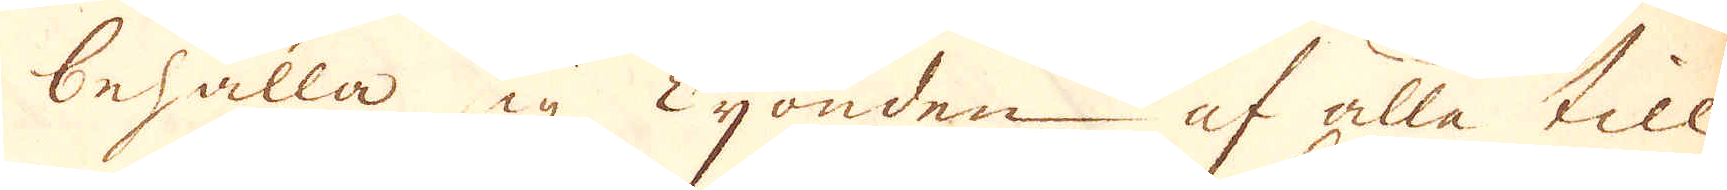behålla sig Tijonden af alla till-
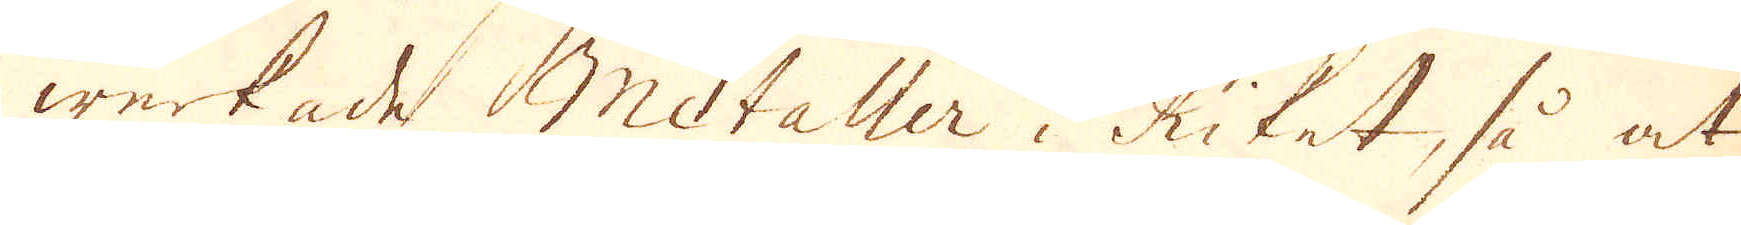werkade Metaller i Riket, så at
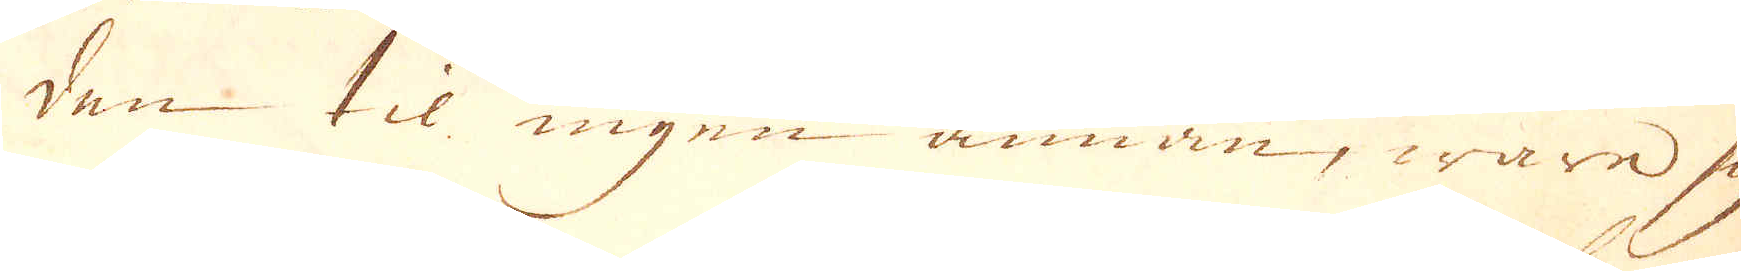den til ingen annan, ware sig
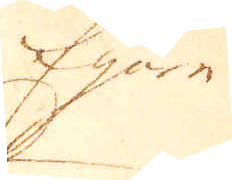Egare
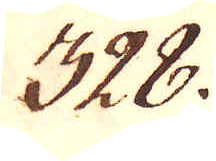328.
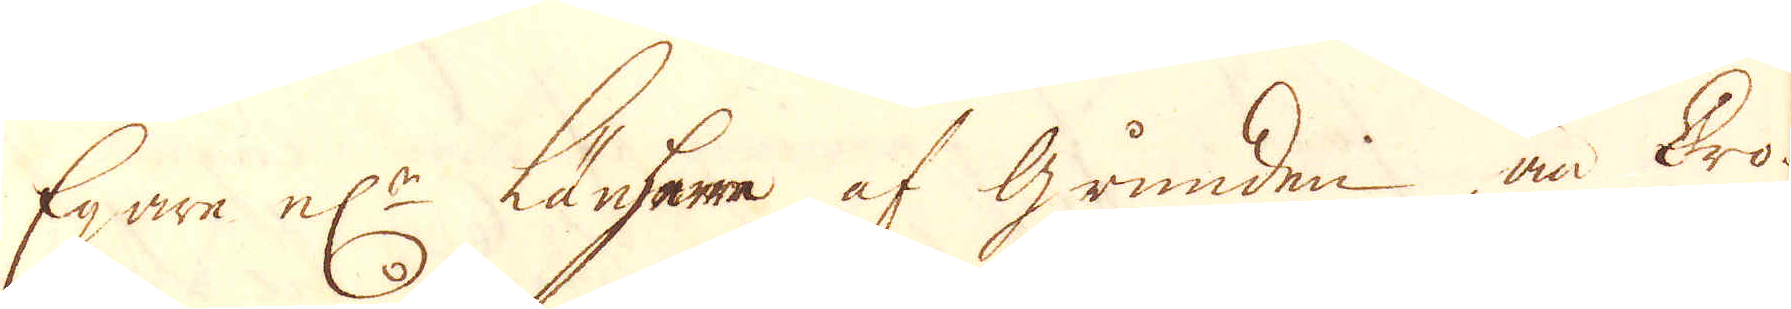Egare el:r Länsherre af grunden än Cro-
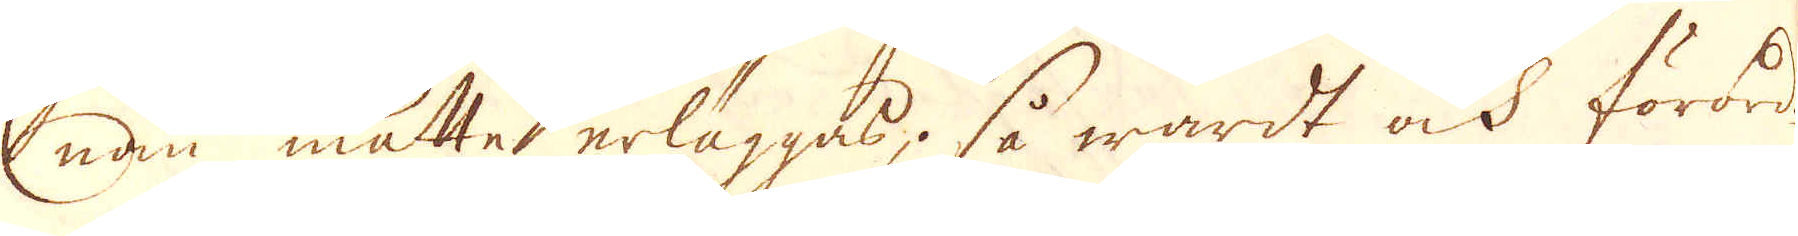nan måtte erläggas, så wardt ock förord-
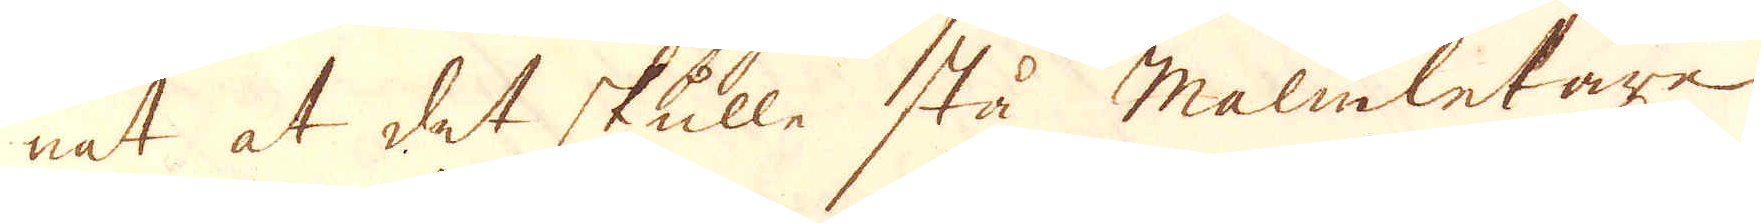nat at det skulle stå Malmletare.
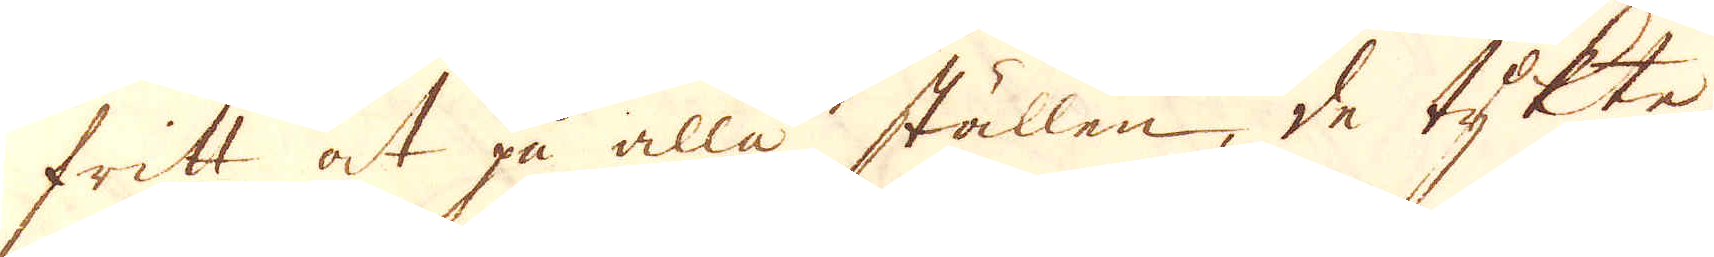fritt at gå alla ställen, de tykte
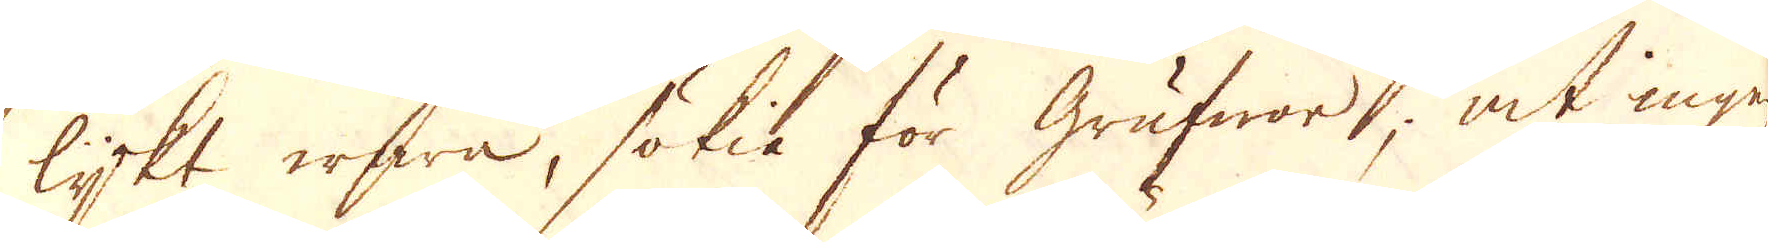lykt erfwa, sökia för Grufwor, at ingen
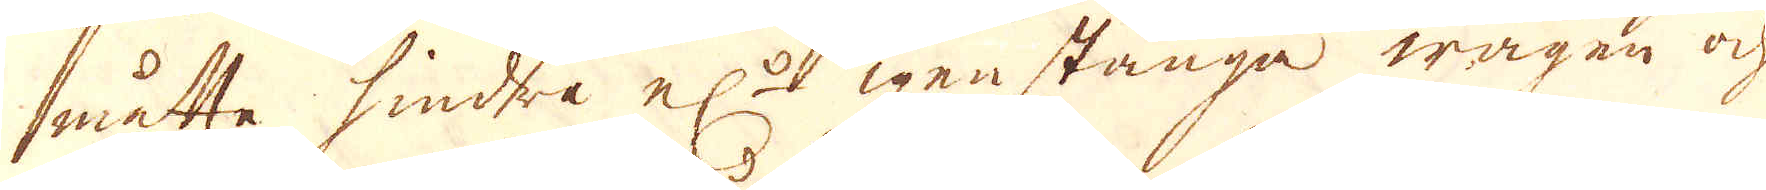måtte hindra el:r igenstänga wägen och
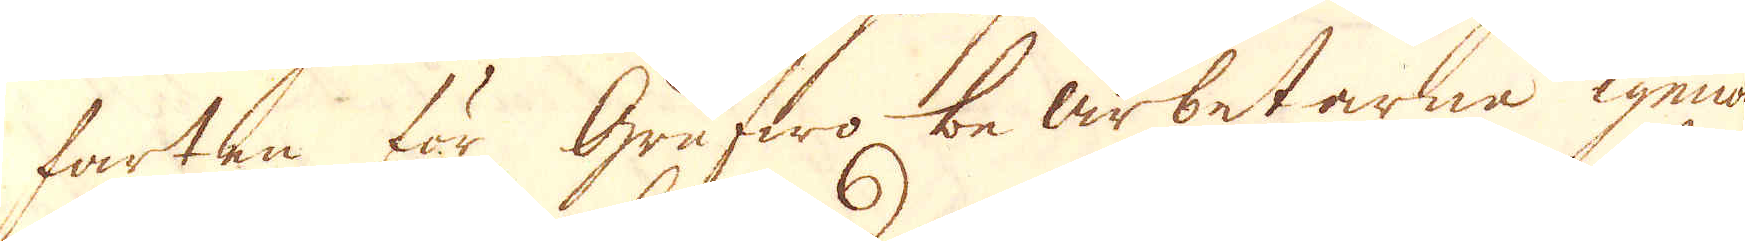farten för Grufwo bearbetarne igenom
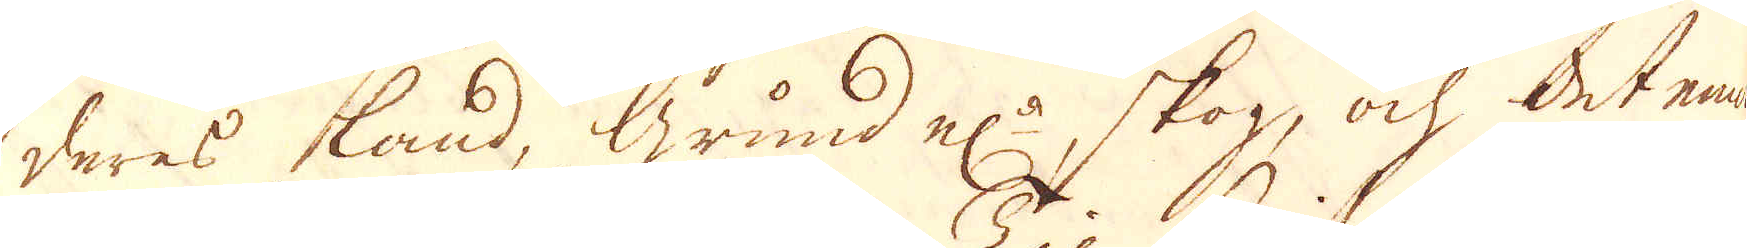deras land, grund el:r skog, ock det emot
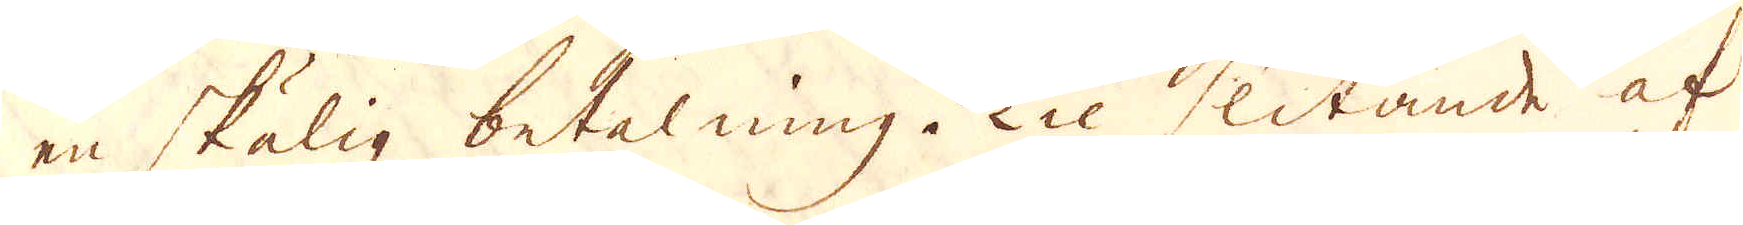en skälig betalning. Til slitande af
